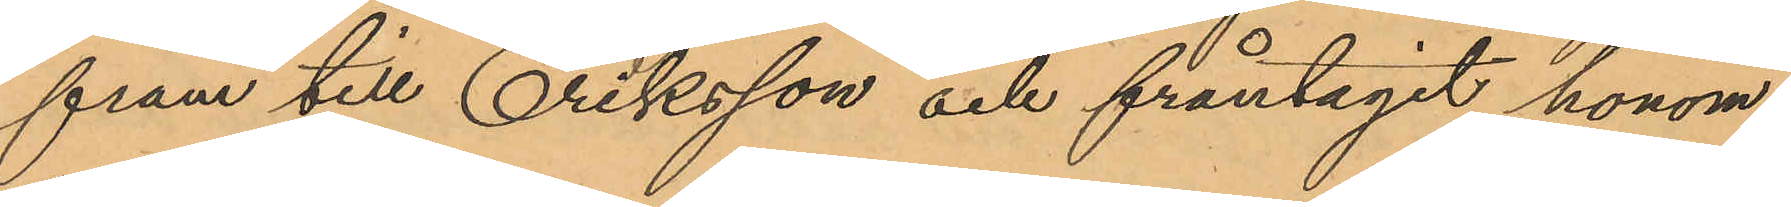fram till Eriksson och fråntagit honom
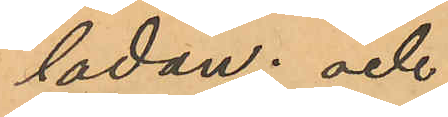ladan; och
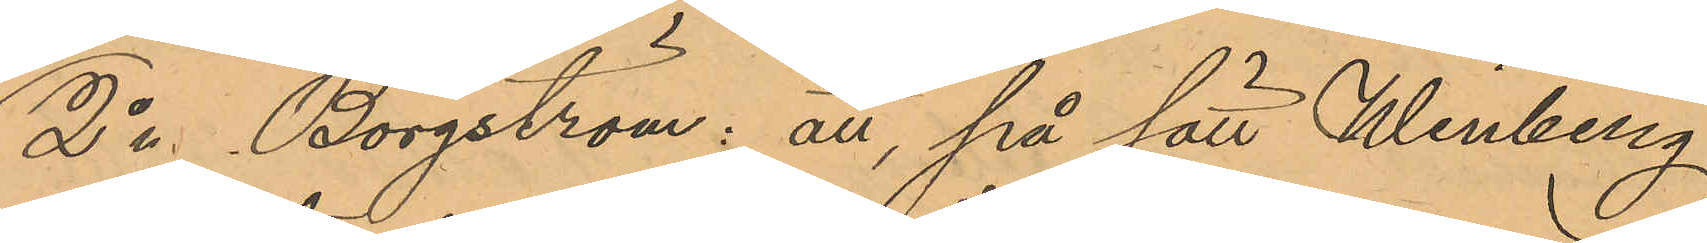2o Borgström: att, på sätt Wenberg
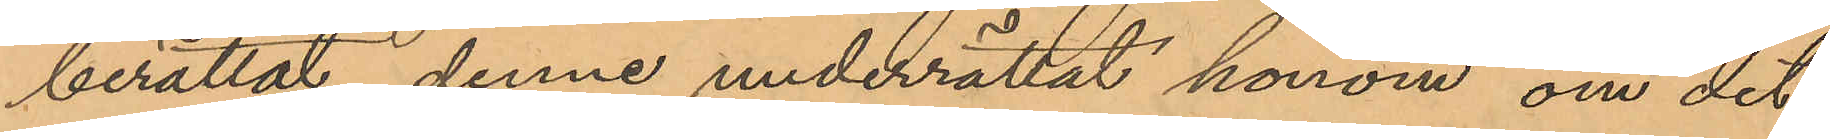berättat, denne underrättat honom om det
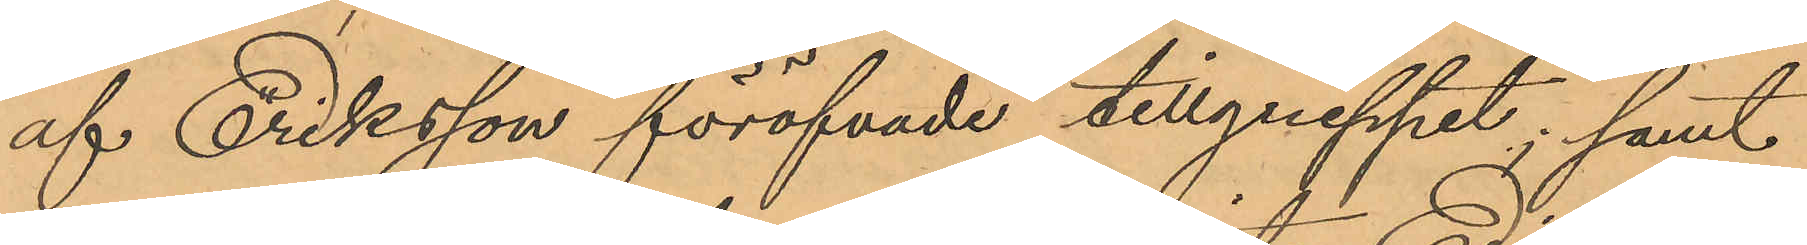af Eriksson föröfvade tillgreppet; samt
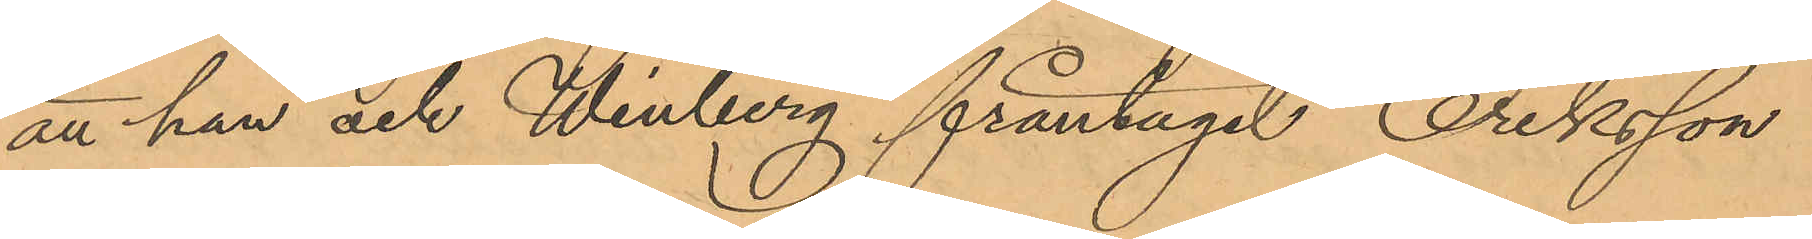att han och Winberg fråntagit Eriksson
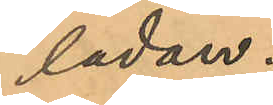ladan.
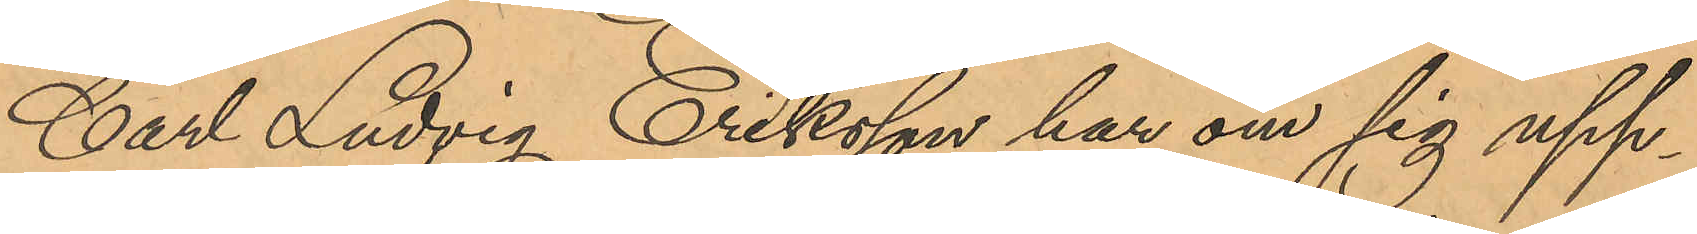Carl Ludvig Eriksson har om sig upp¬
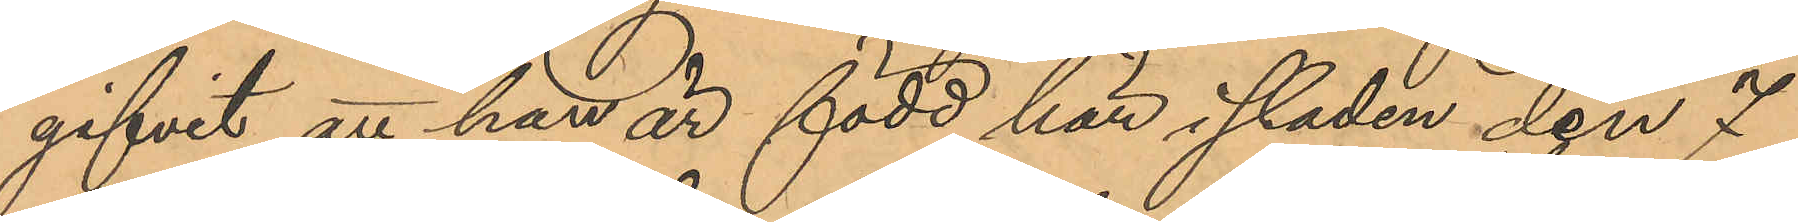gifvit att han är född här i staden den 7
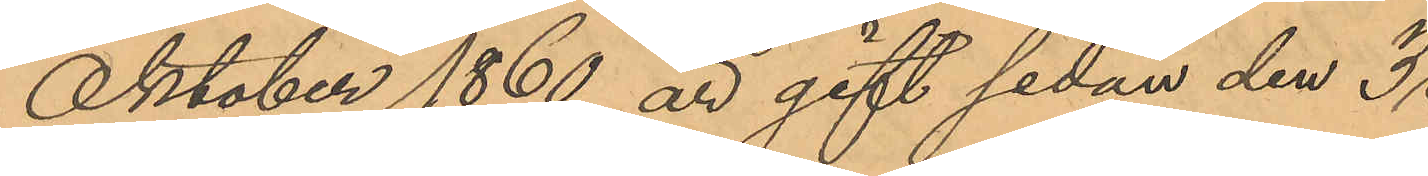Oktober 1860, är gift sedan den 3
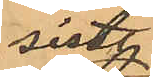sistl.
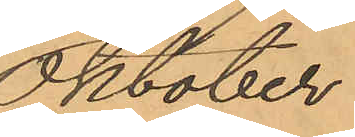Oktober
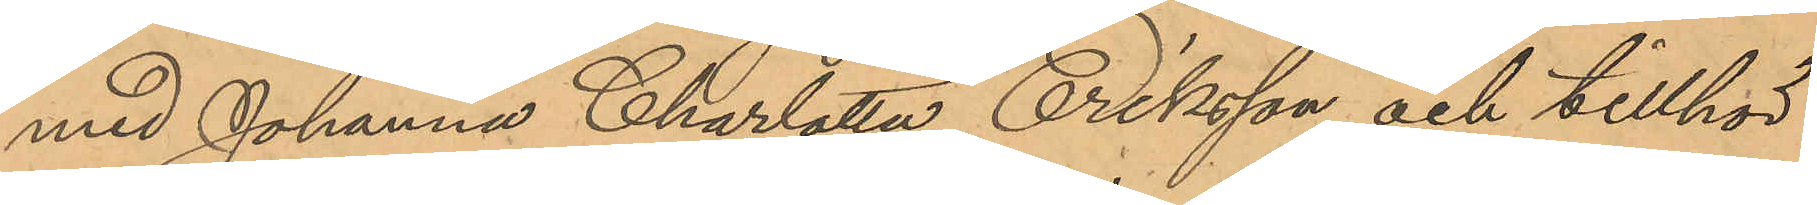med Johanna Charlotta Eriksson och tillhör
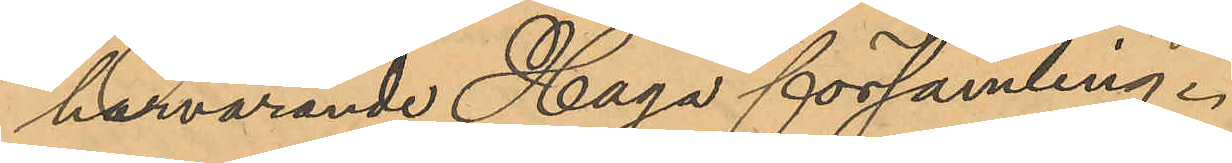härvarande Haga församling.
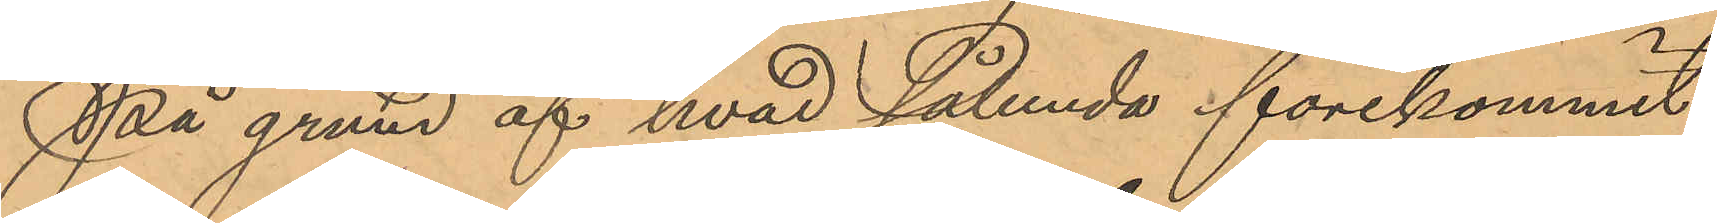På grund af hvad sålunda förekommit,
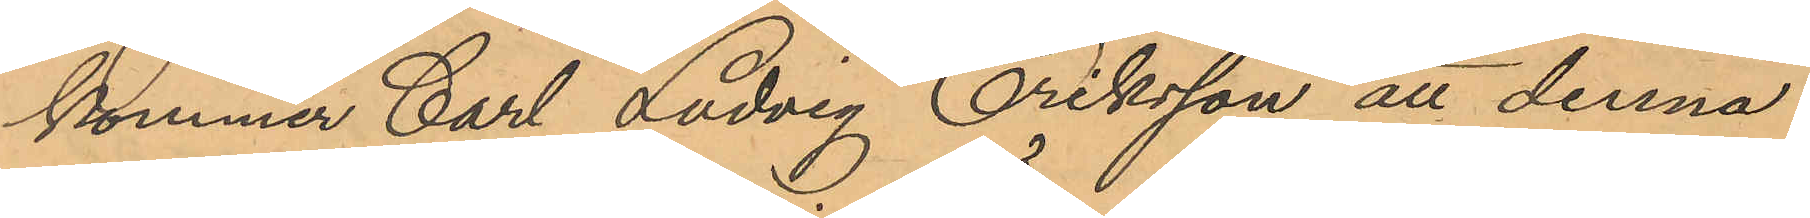kommer Carl Ludvig Eriksson att denna
